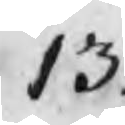13.
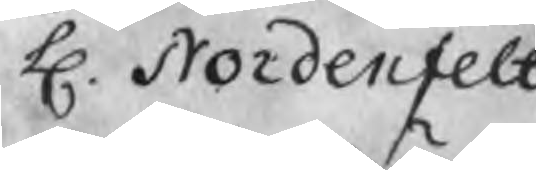H. Nordenfelt
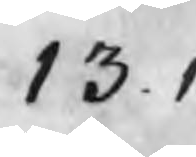13.1
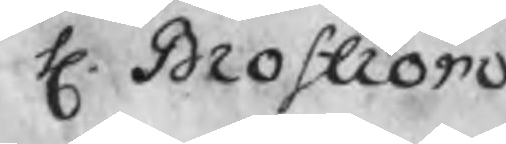H. Broström
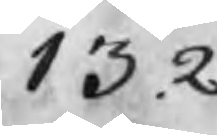13.2
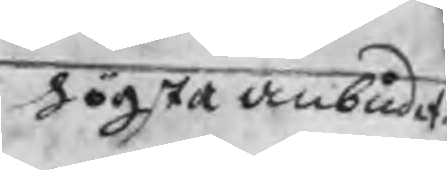högsta anbudet
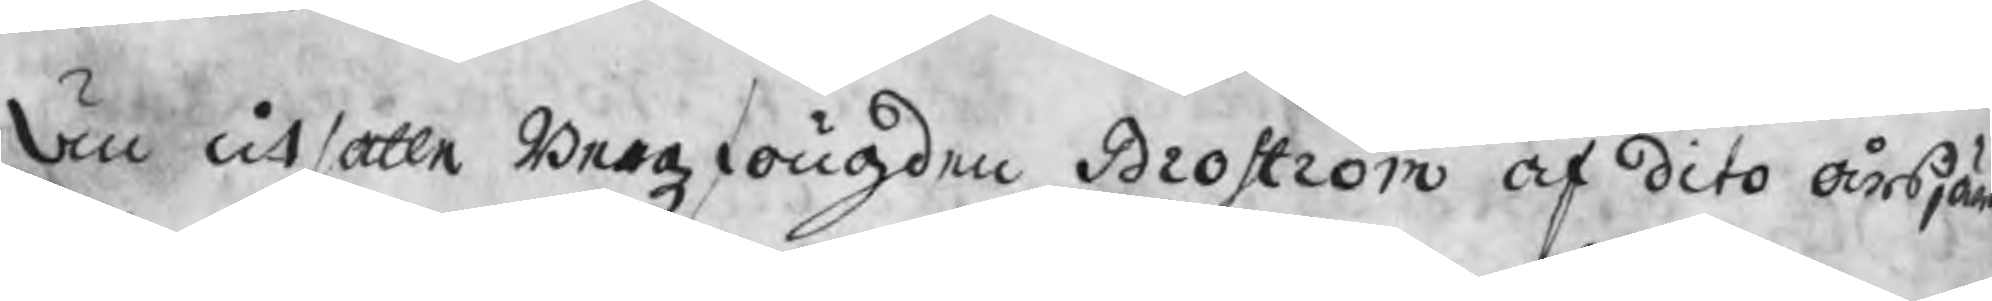Än utsatte Bergzfougden Broström af dito årsjärn
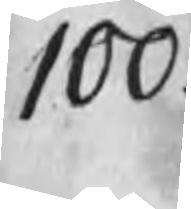100
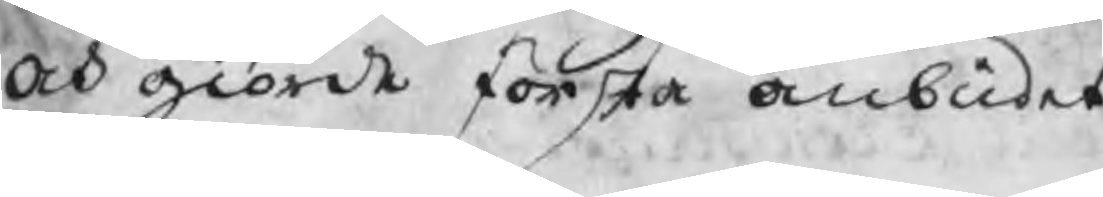och giorde första anbudet
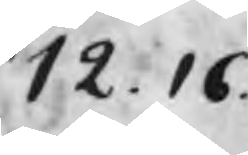12.16
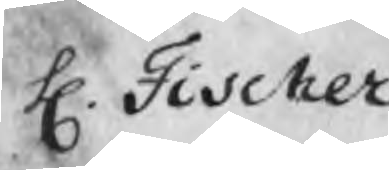H. Fischer
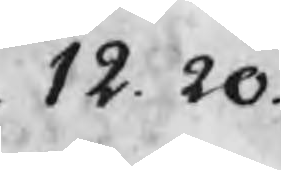12.20
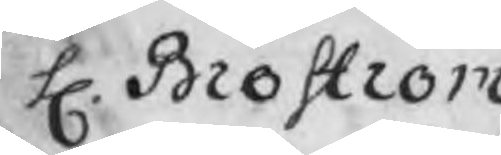H. Broström
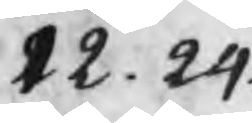12.24
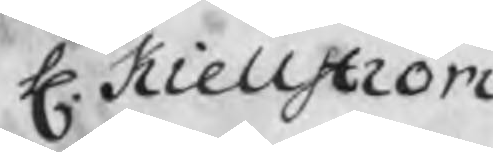H. Kiellström
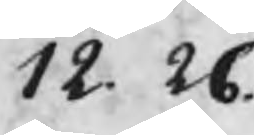12.26
